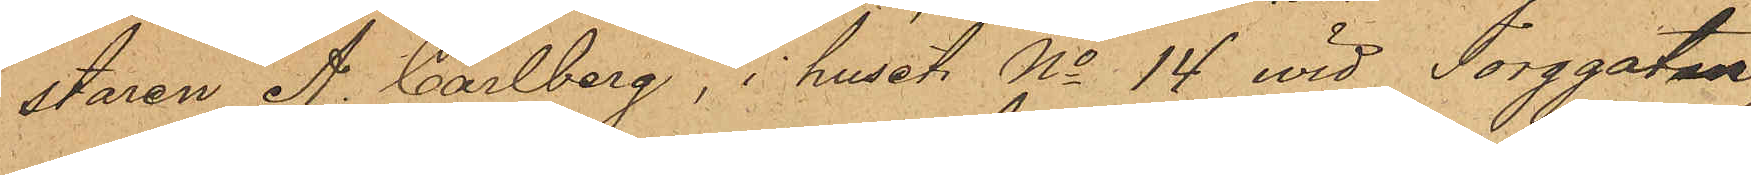staren A. Carlberg, i huset No 14 vid Torggatan,
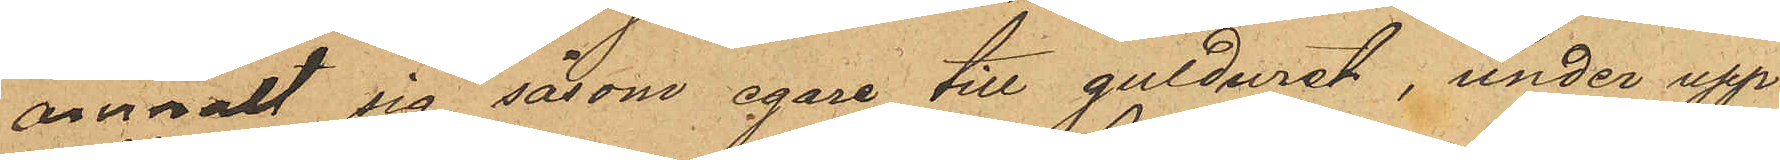anmält sig såsom egare till gulduret, under upp¬
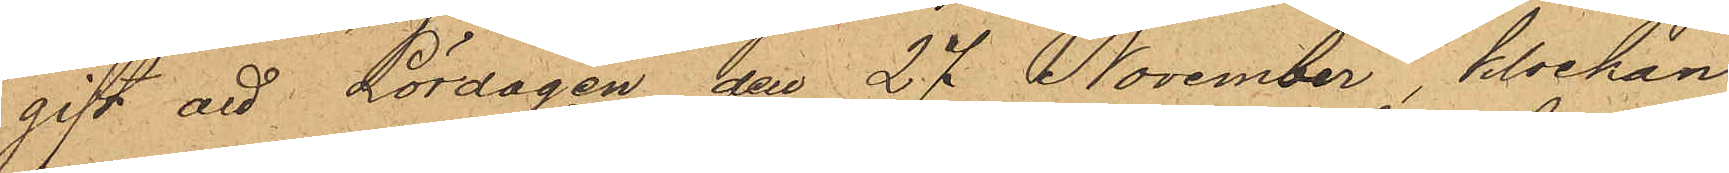gift att Lördagen den 27 November, klockan
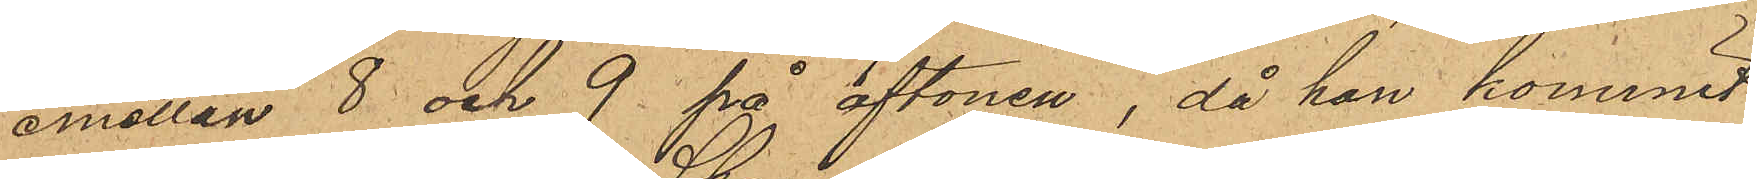emellan 8 och 9 på aftonen, då han kommit
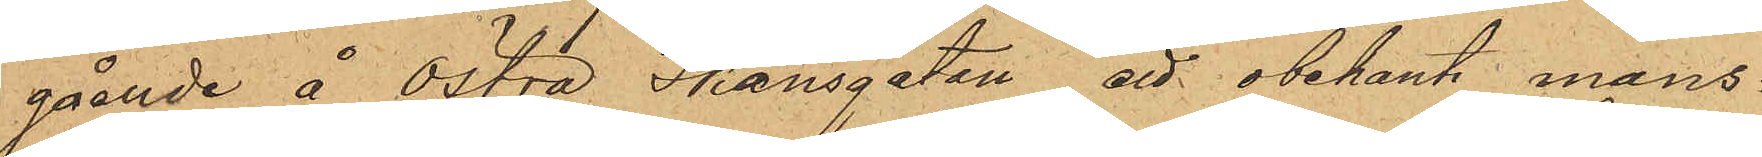gående å Östra Skansgatan, ett obekant mans¬
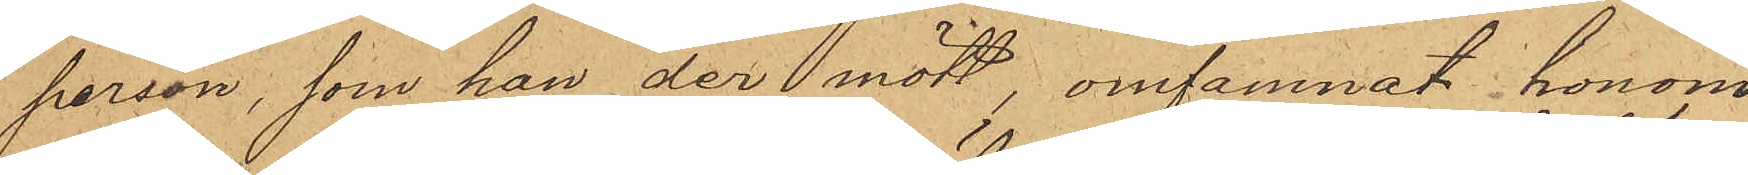person, som han der mött, omfamnat honom
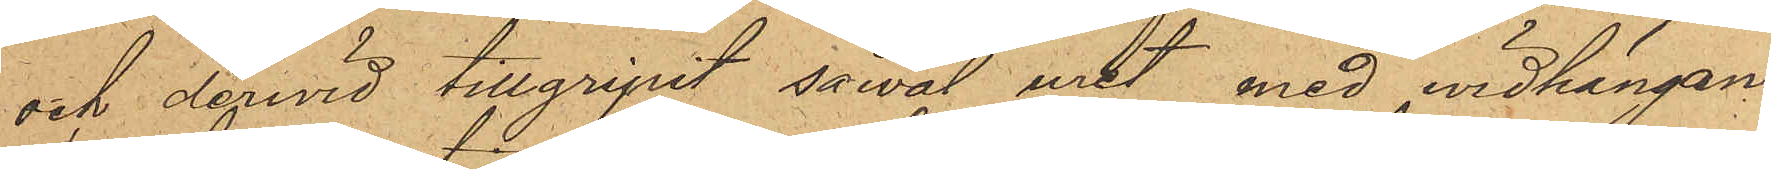och dervid tillgripit såväl uret med vidhängan¬
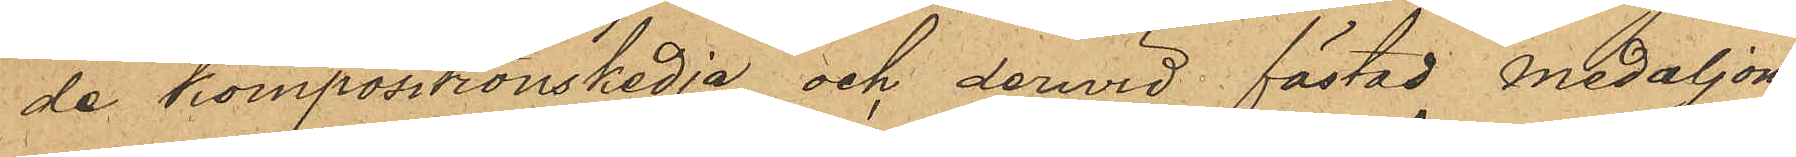de kompositionskedja och derwid fästad medaljong
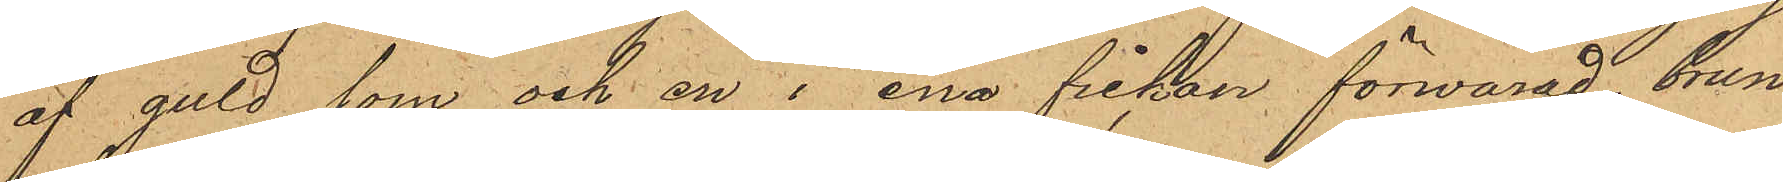af guld som och en i ena fickan förwarad brun
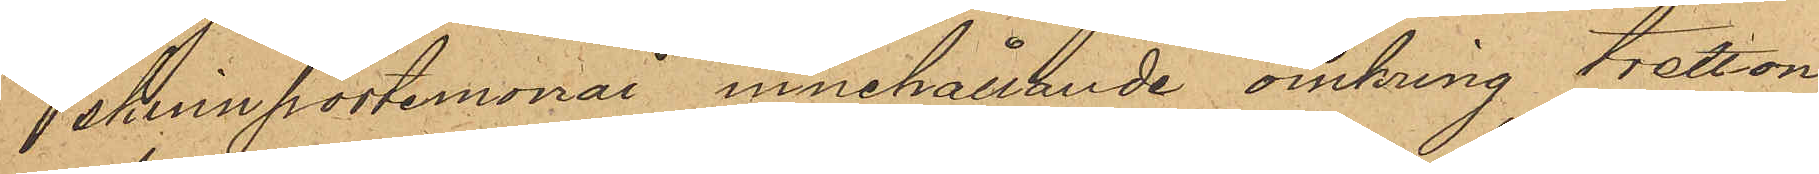skinnportemonai, innehållande omkring tretton
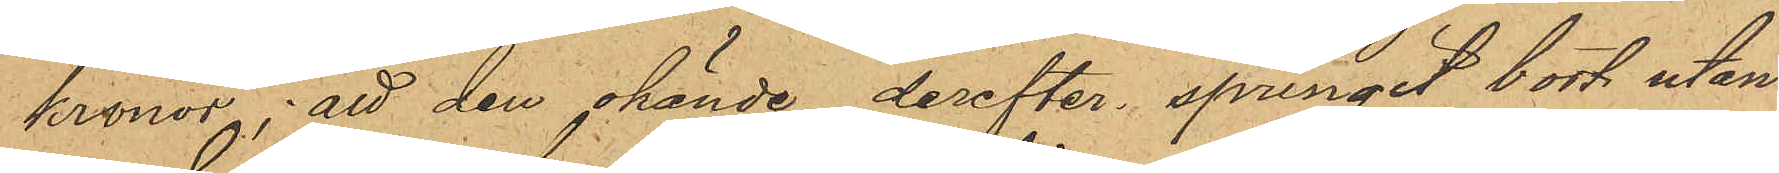kronor; att den okände derefter springit bort utan
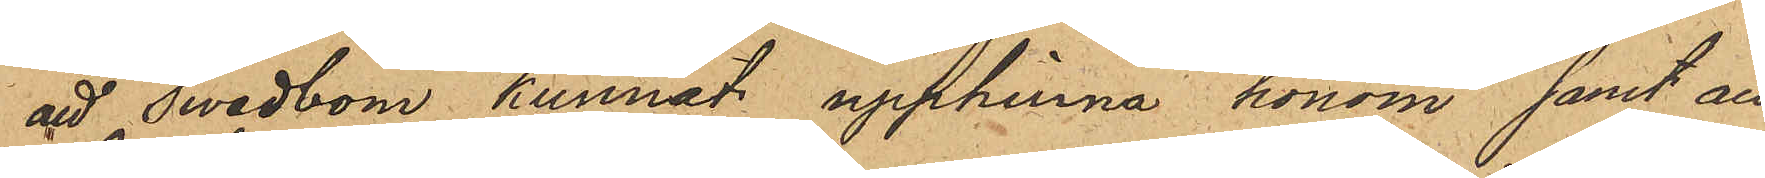att Swedbom kunnat upphinna honom samt att
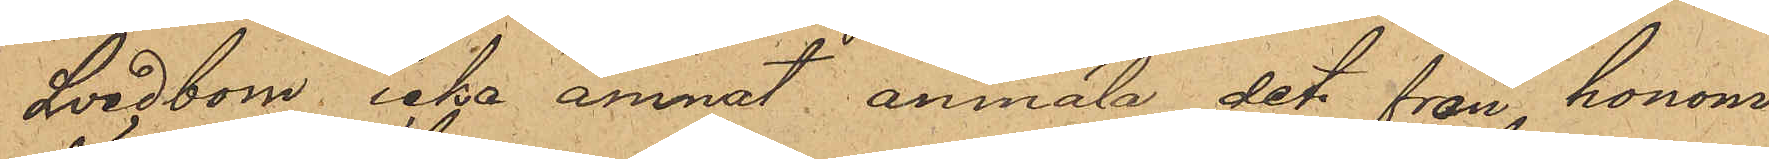Svedbom icke ämnat anmäla det från honom
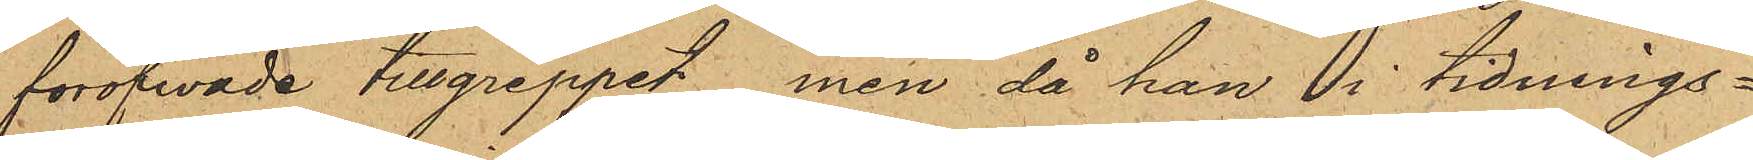föröfwade tillgreppet men då han i tidnings¬
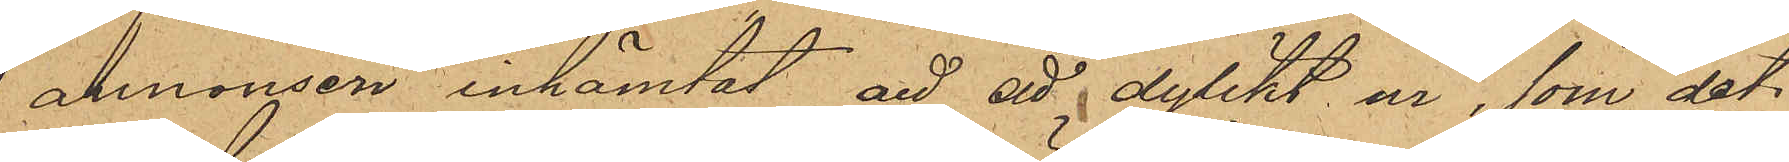annonsen inhämtat att ett dylikt ur, som det
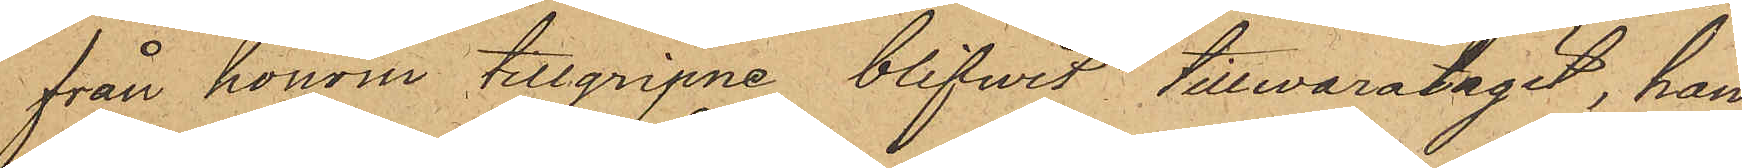från honom tillgripne blifwit tillvaratagit, han
